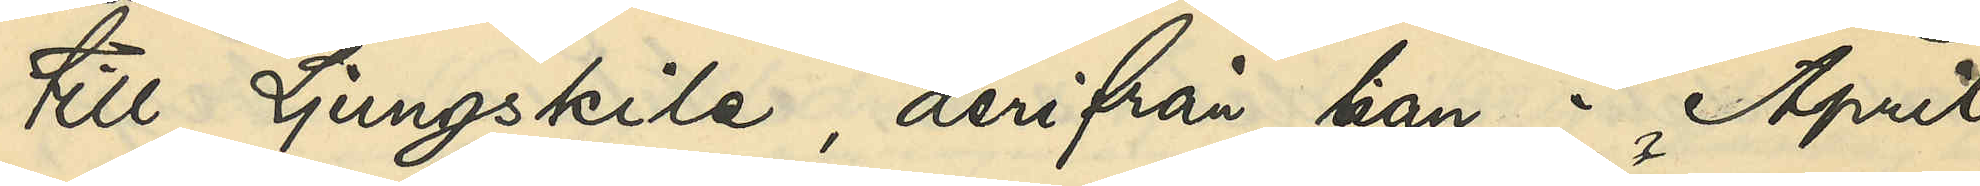till Ljungskile , derifrån han i April
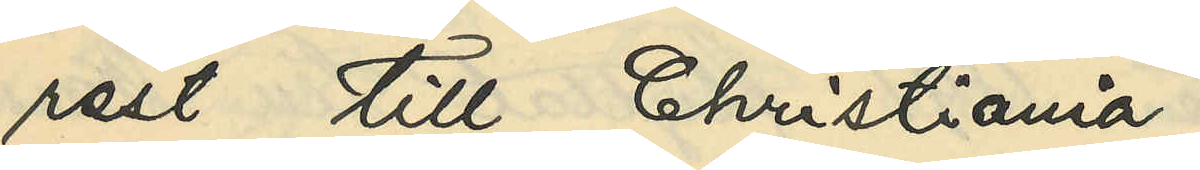rest till Christiania
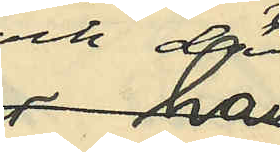och der
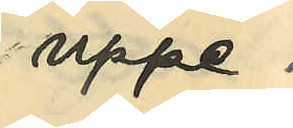uppe¬
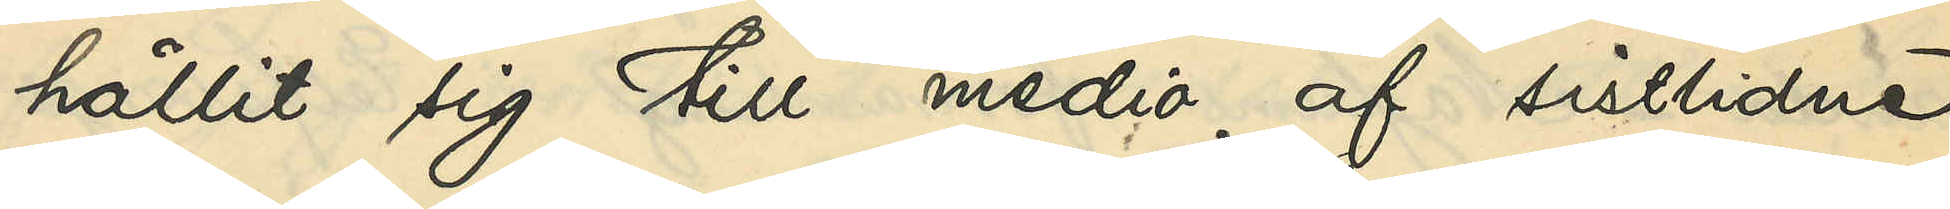hållit sig till medio af sistlidne
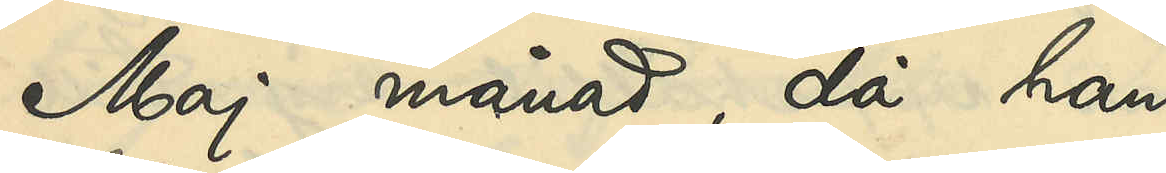Maj månad, då han
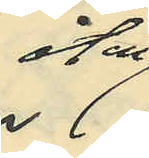åter
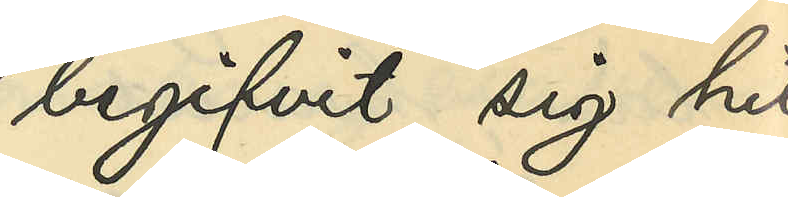begifvit sig hit
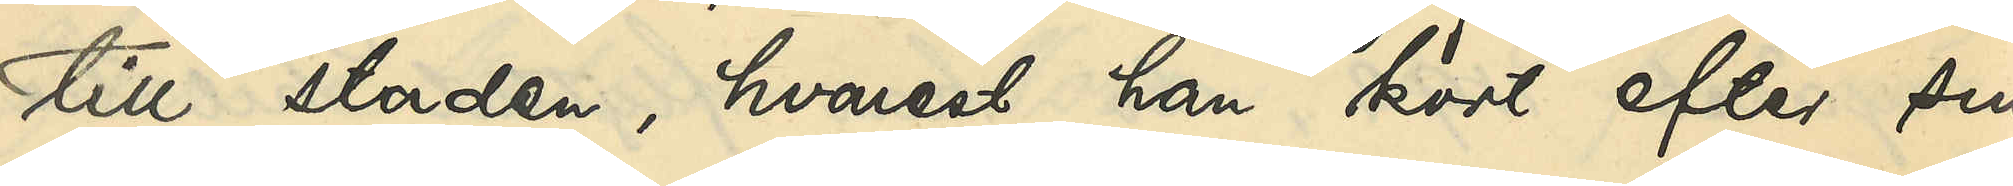till staden, hvarest han kort efter sin
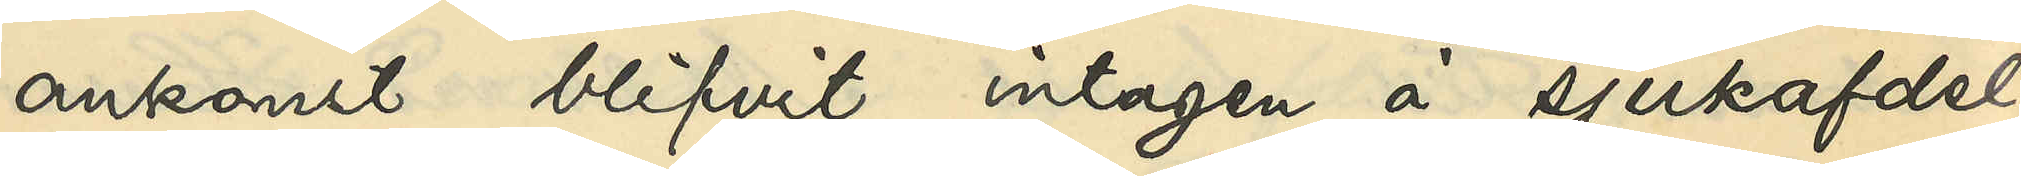ankomst blifvit intagen å sjukafdel¬
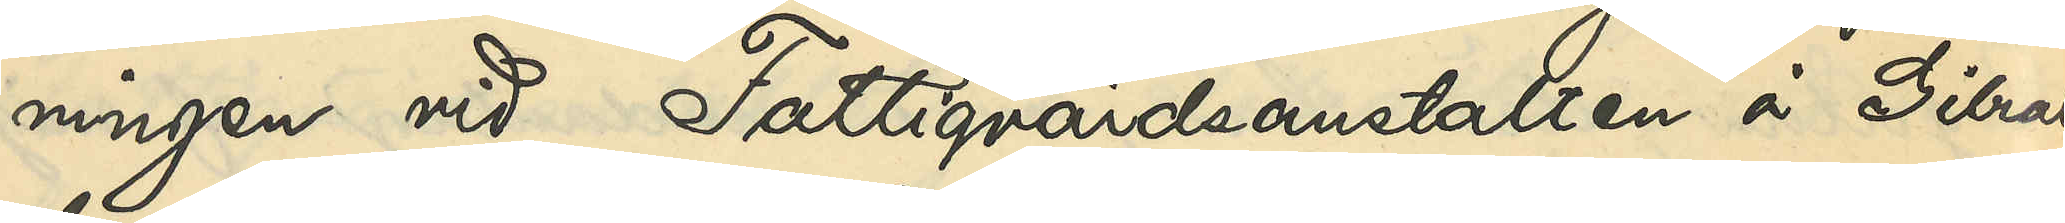ningen vid Fattigvårdsanstalten å GIbral¬
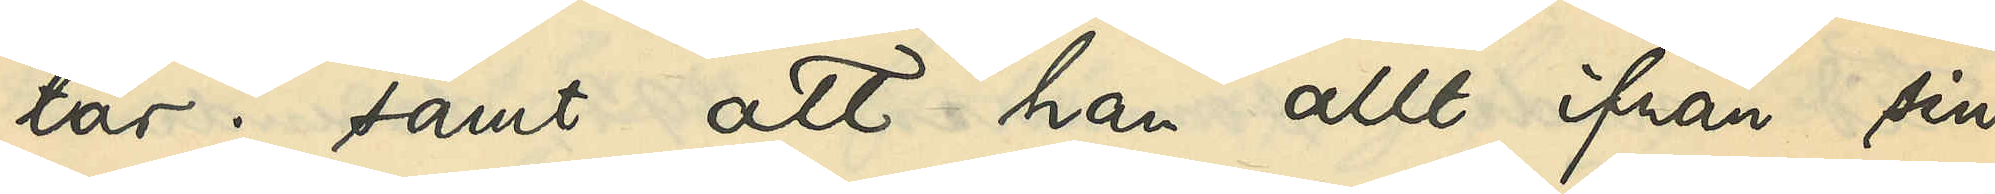tar; samt att han allt från sin
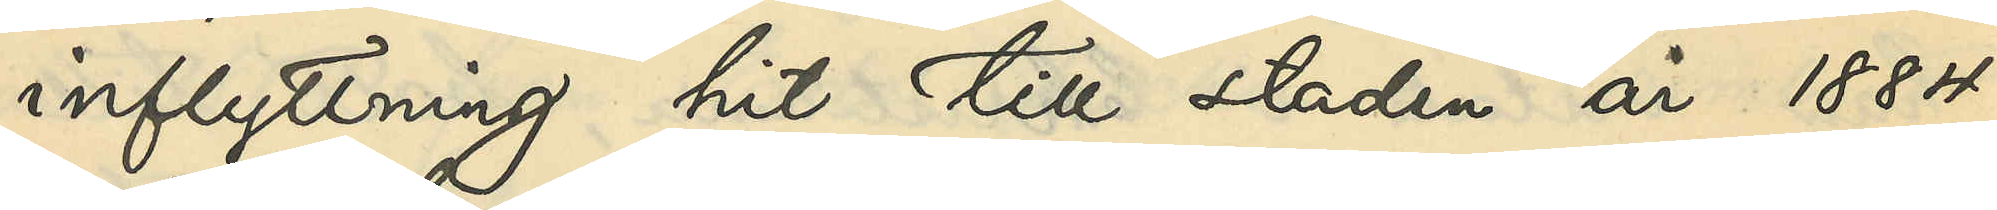inflyttning hit till staden år 1884
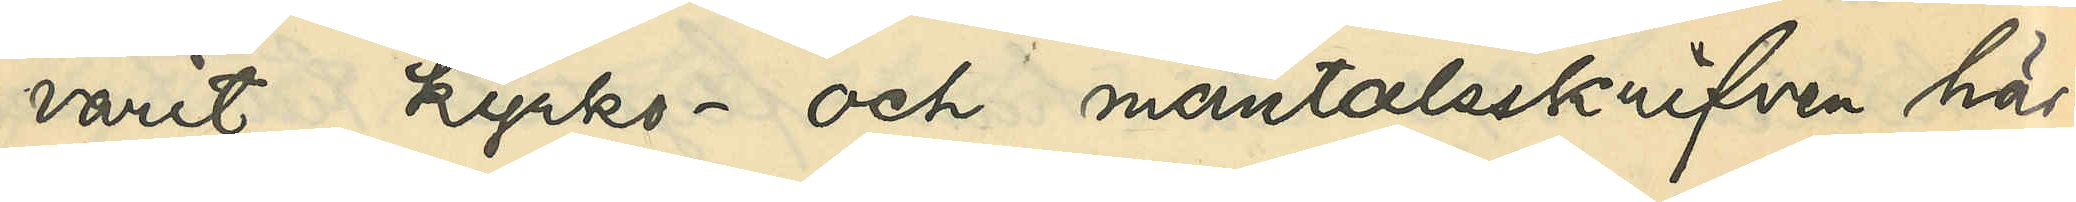varit kyrko- och mantalsskrifven här¬
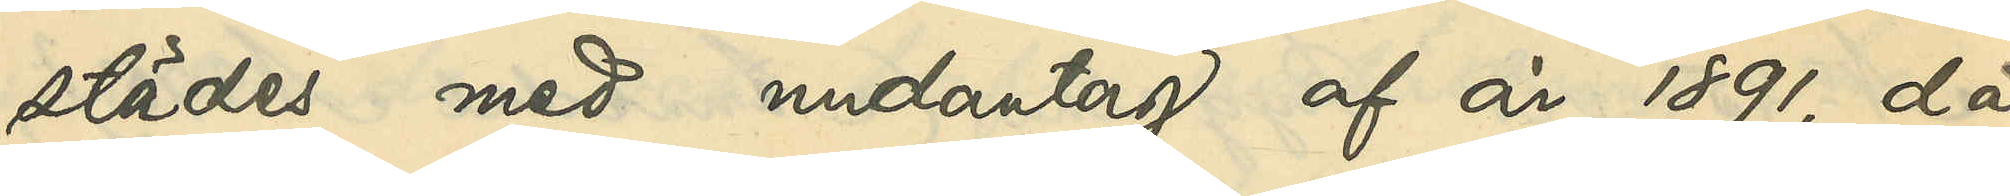städes med undantag af år 1891, då
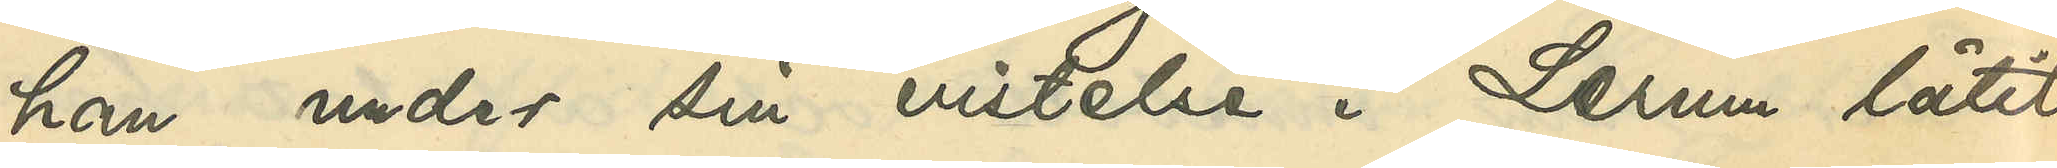han under sin vistelse i Lerum låtit
